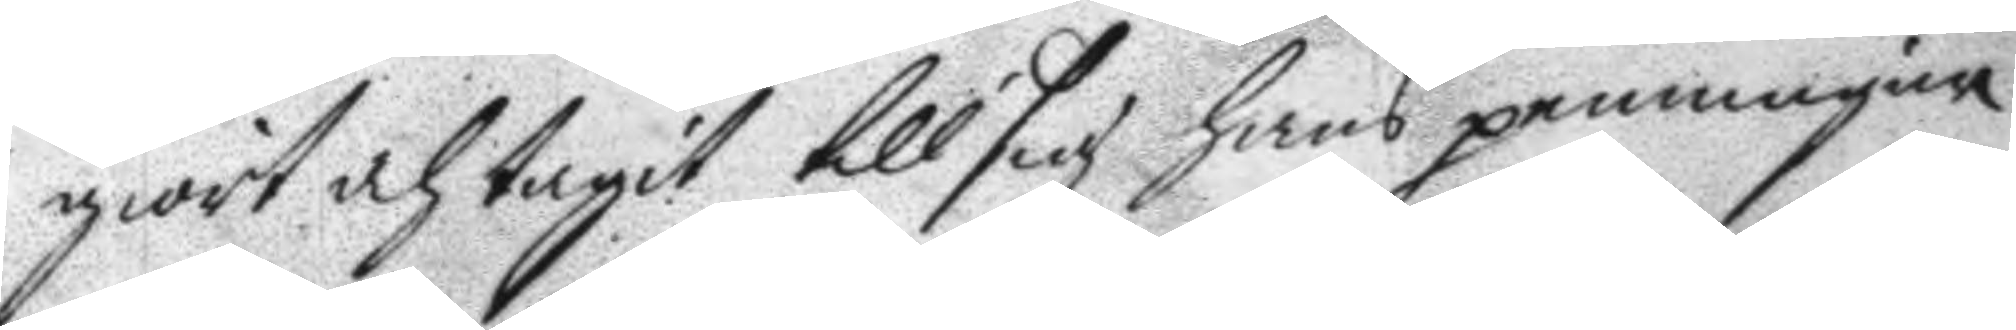giort och tagit till sig hans penningar
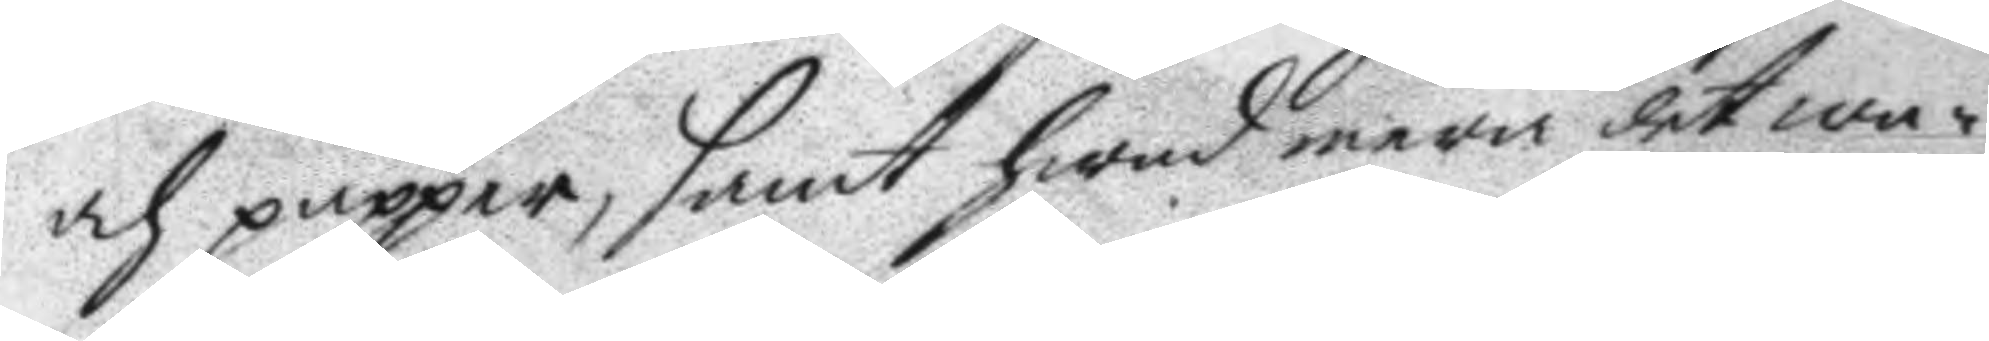och pupper, samt hwad mera det wa¬
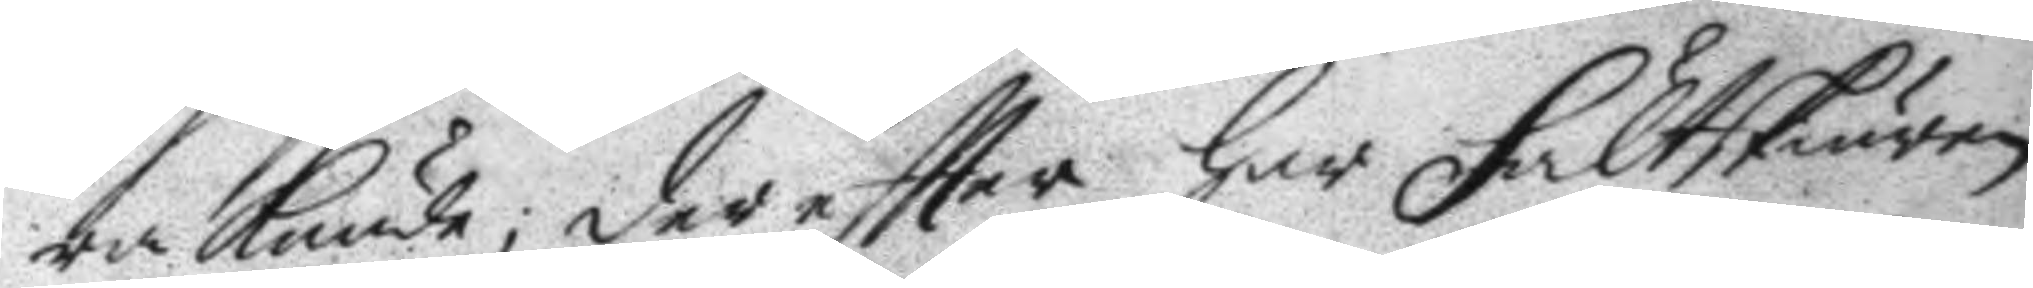ra kunde; dereftter har Fältskiären
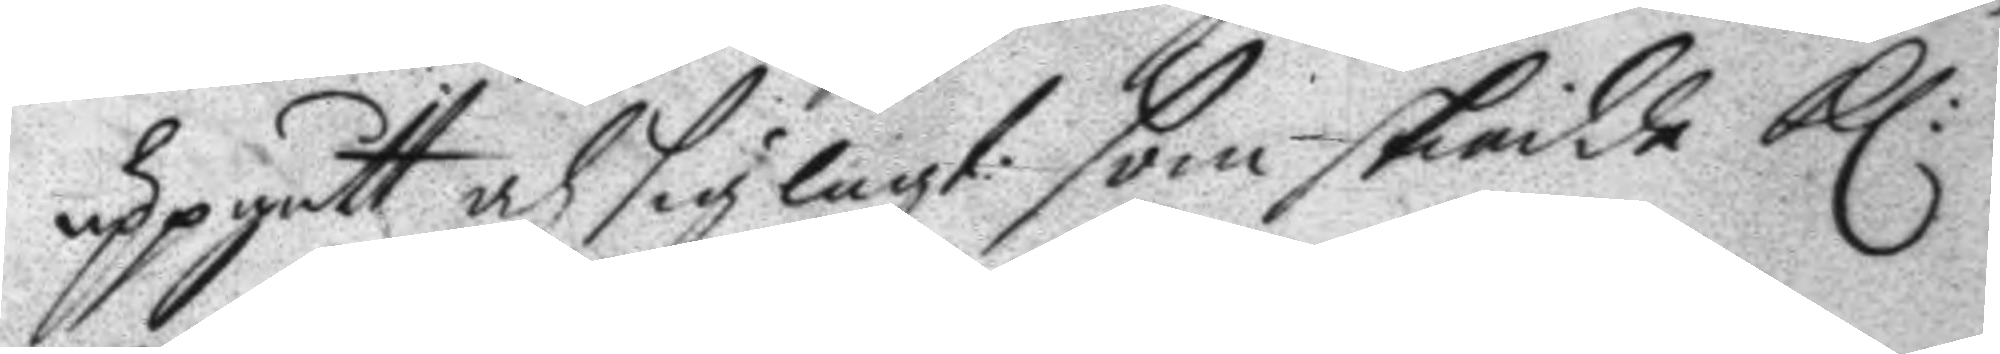uppgått och sig lagt som skiedde kl:
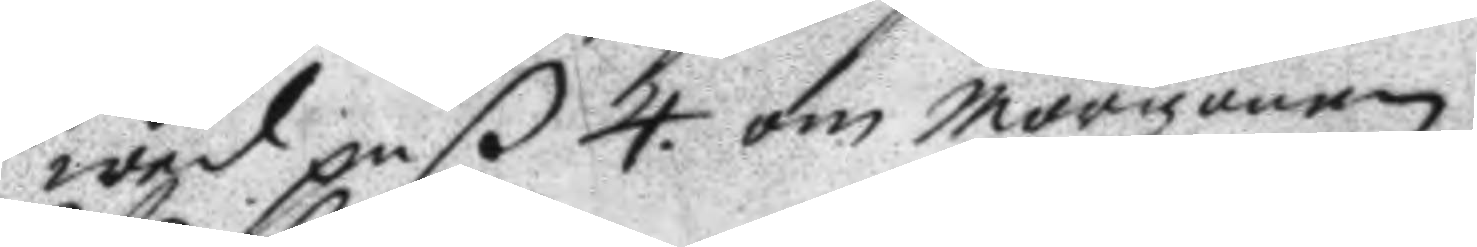wed paß 4. om morgonen.
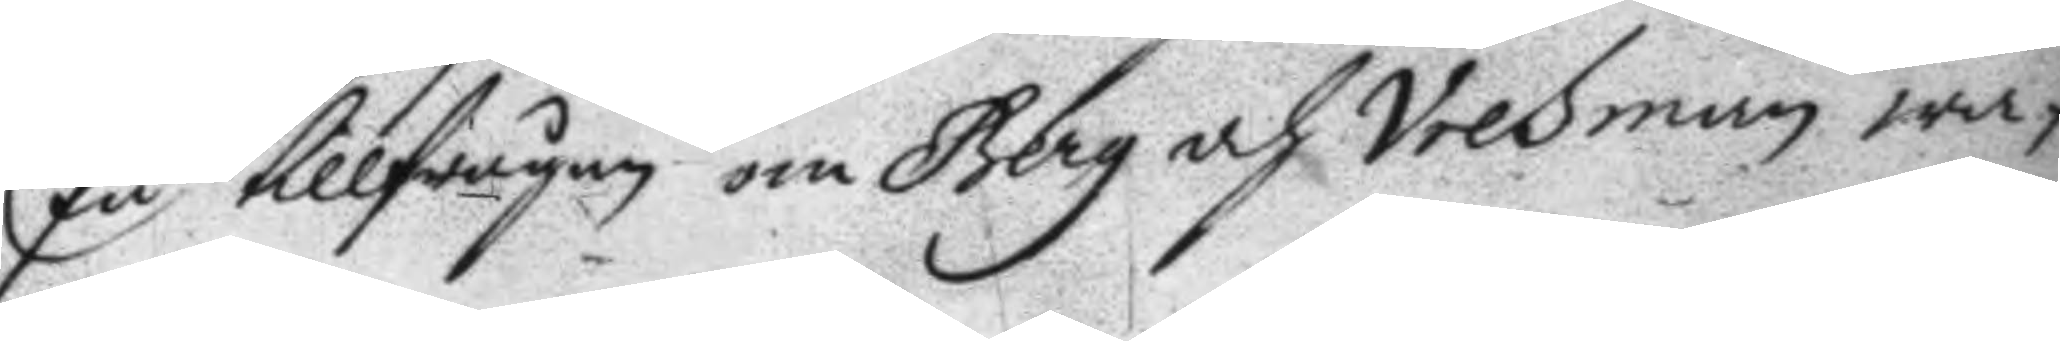På tillfrågan om Berg och Vresman wa¬
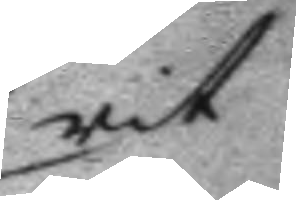rit
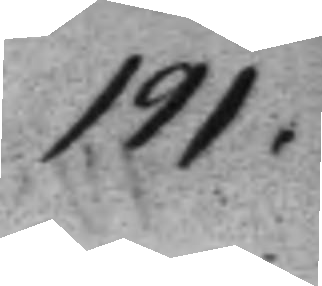191.
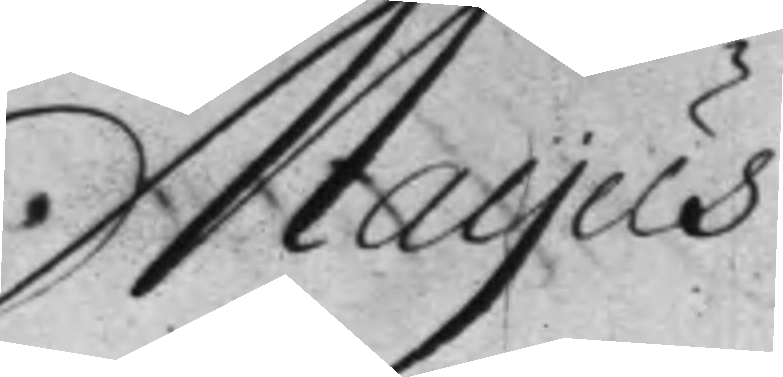Mayus
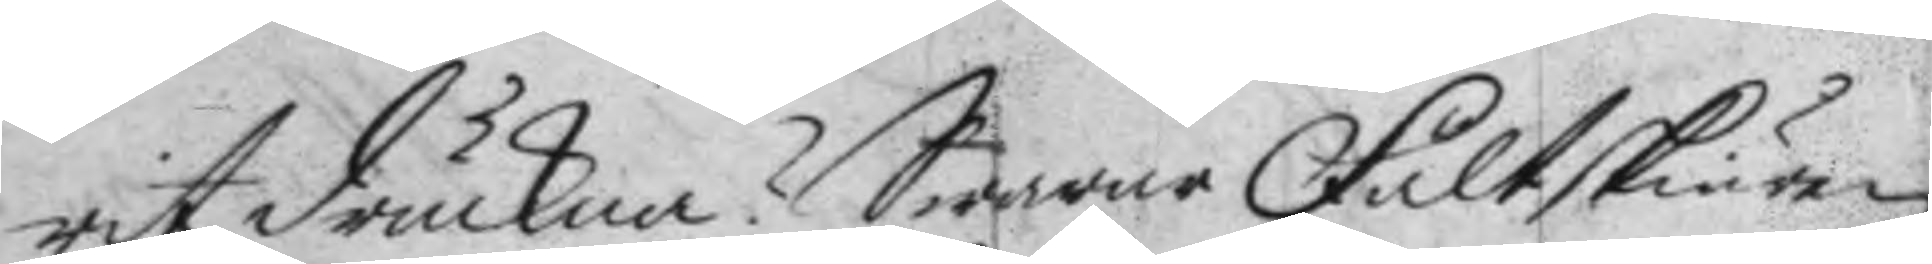rit drucken? Swarar Fältskiären
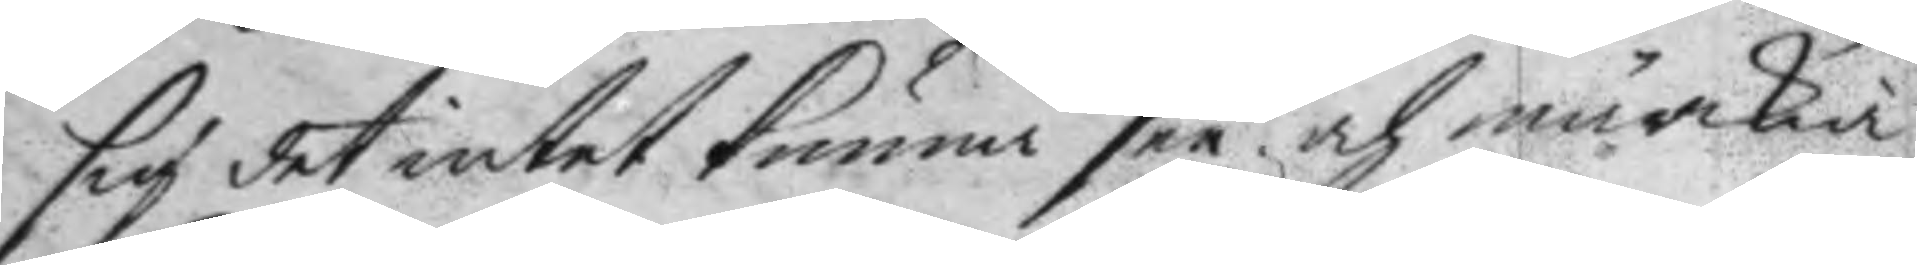sig det intet kunna see och märkia.
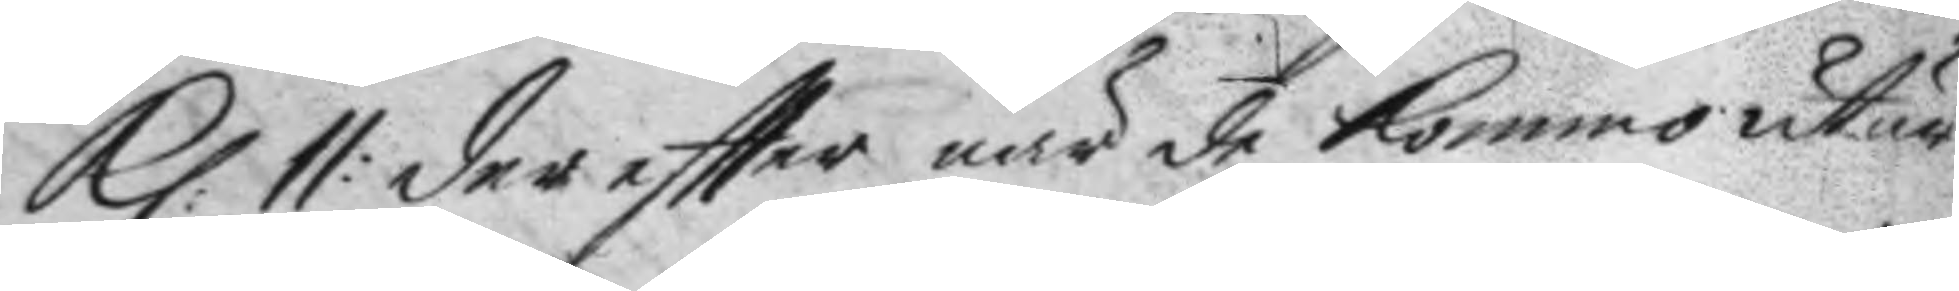Kl: 11: deer eftter när de kommo utur
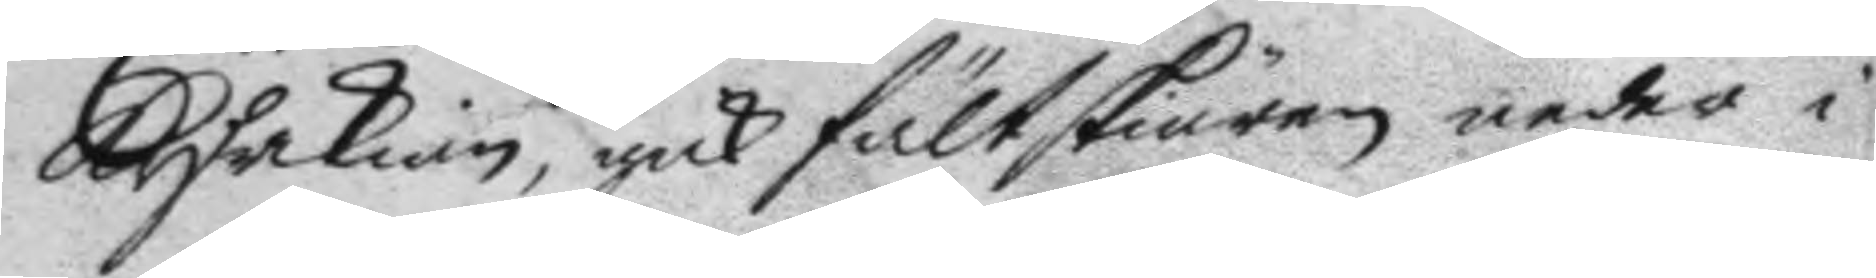kyrkian, gick fälskiären neder i
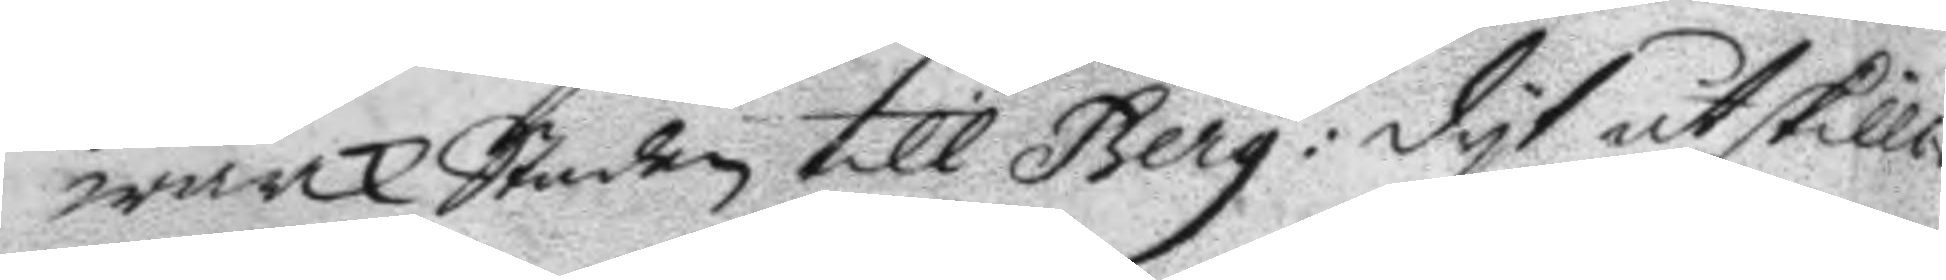wärckStaden till Berg: dyt åtskilli¬
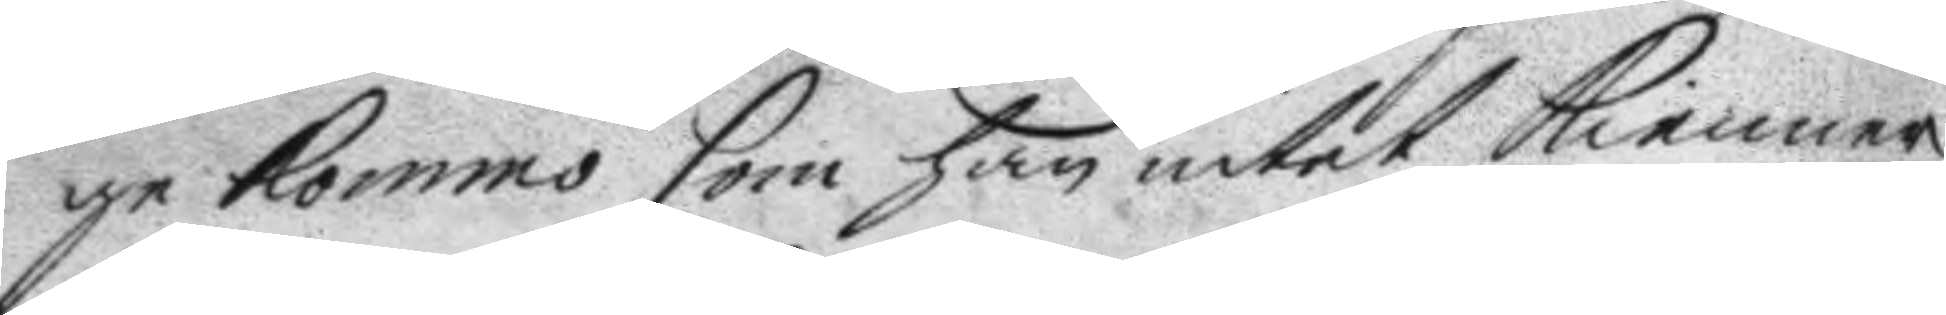ge kommo som han intet kienner,
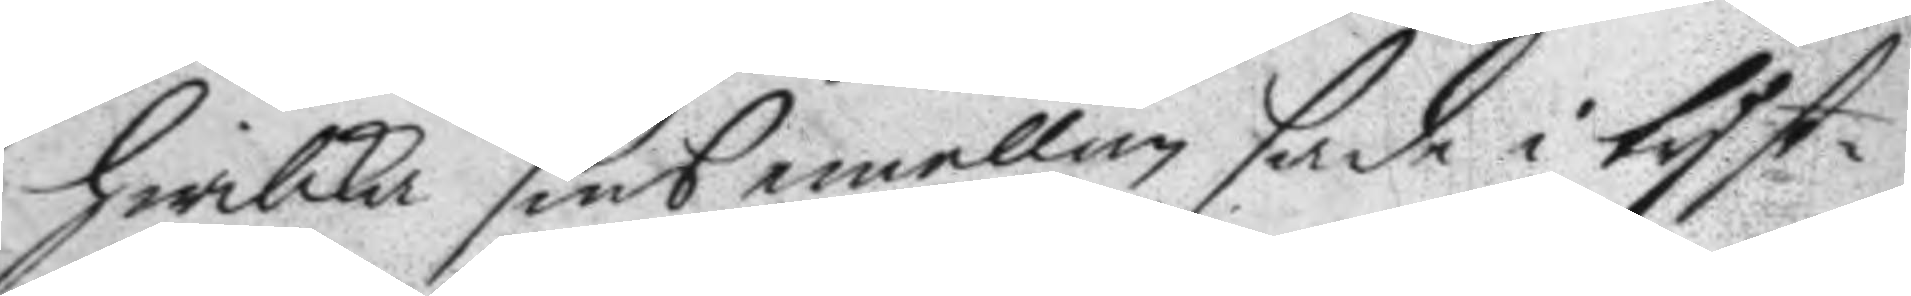hwilka sins emellan sade i tyst¬
